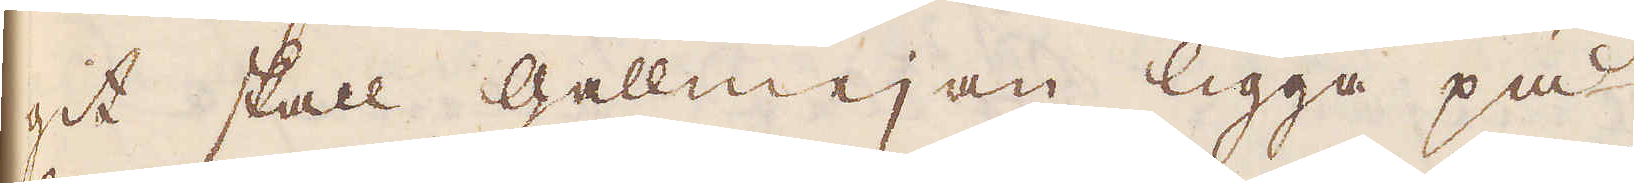git skall gallmejan ligga på
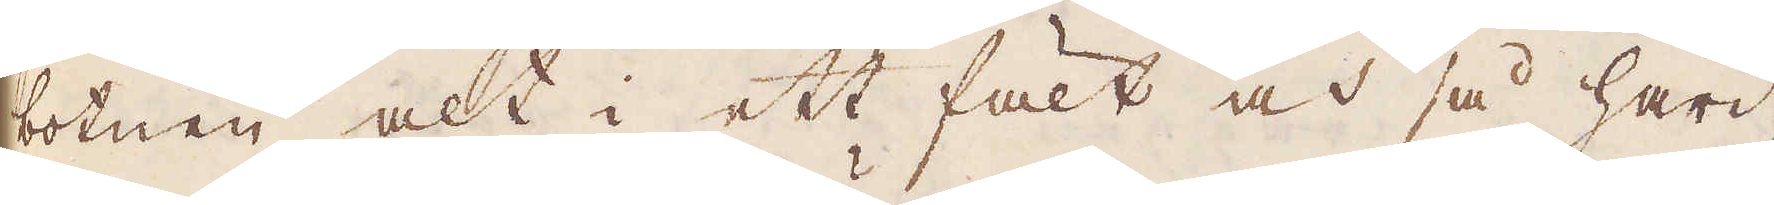botnen alt i ett fält och så hård
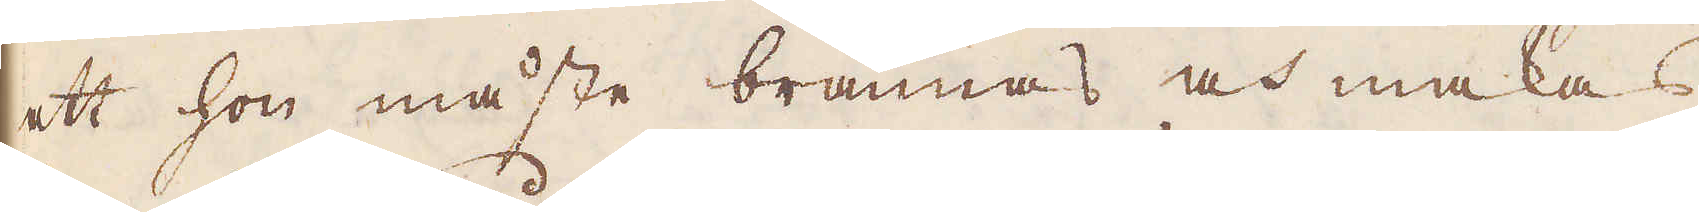ett hon måste brännas och makas
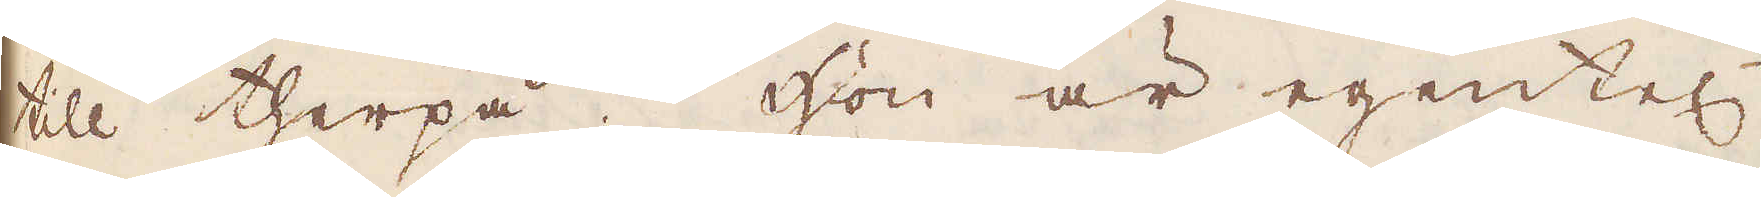till therpå. Hon är egentel:n
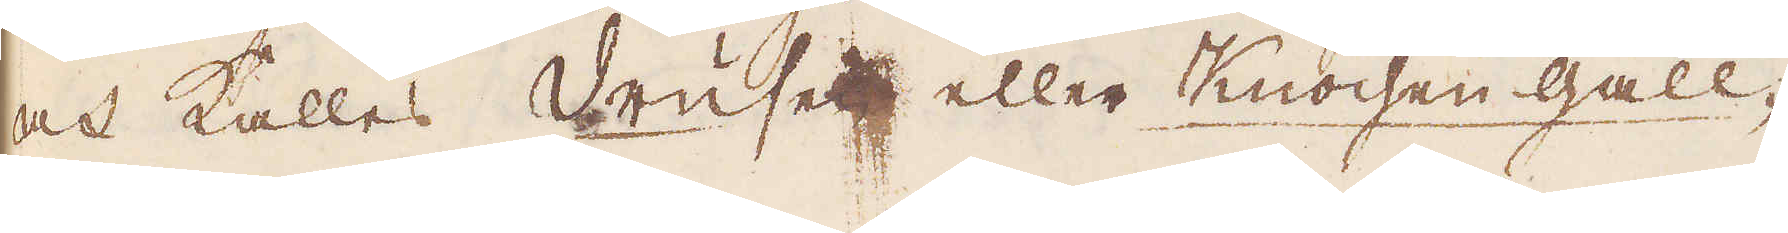och kalles Vrusen, eller Knochen-Gall-
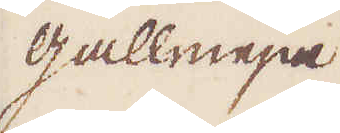gallmeja.
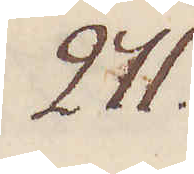271.
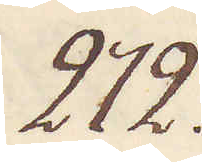272.
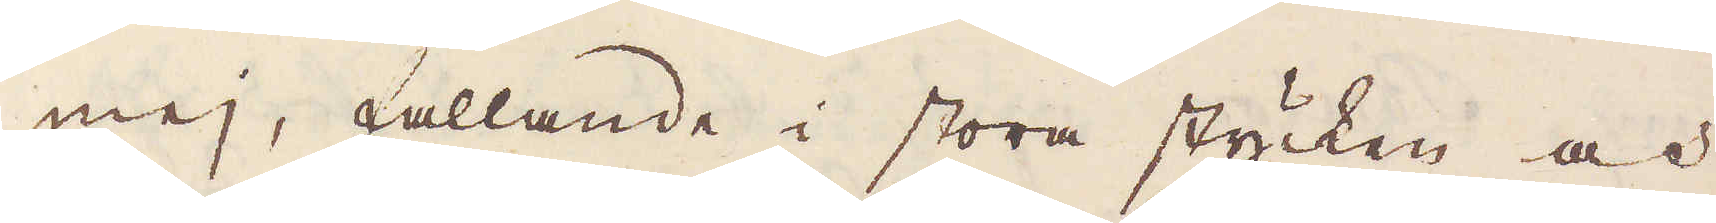mej fallande i stora stycken, och
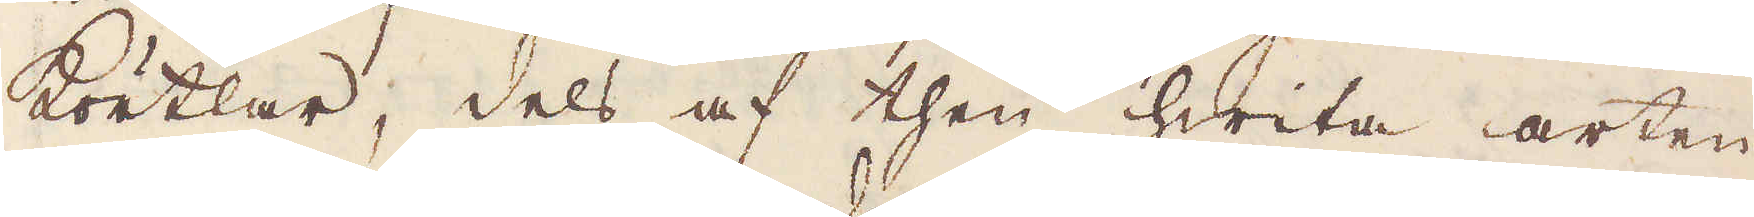Körtlar, dels af then hwita arten
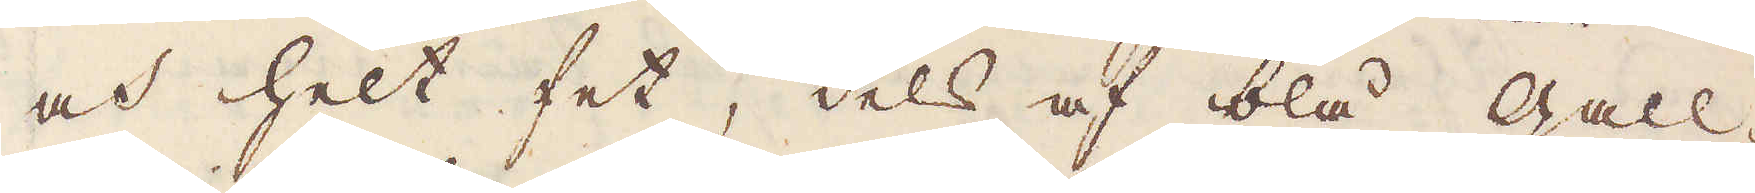och helt fet, dels af blå Gall-
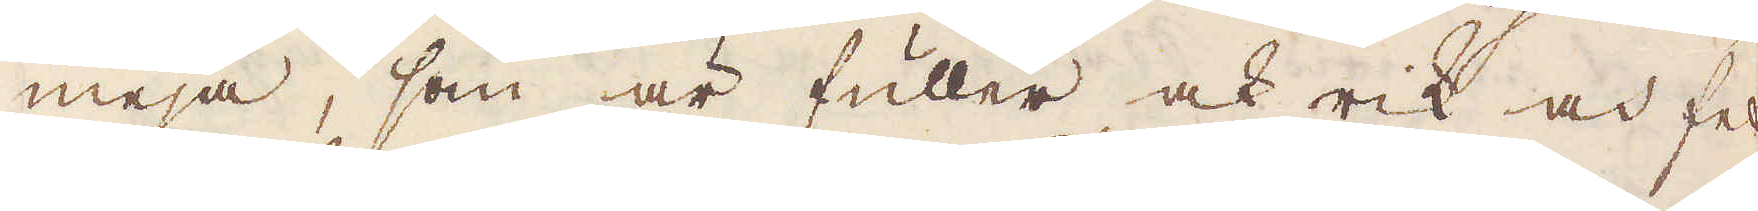meja, som är fuller ock rik och fet
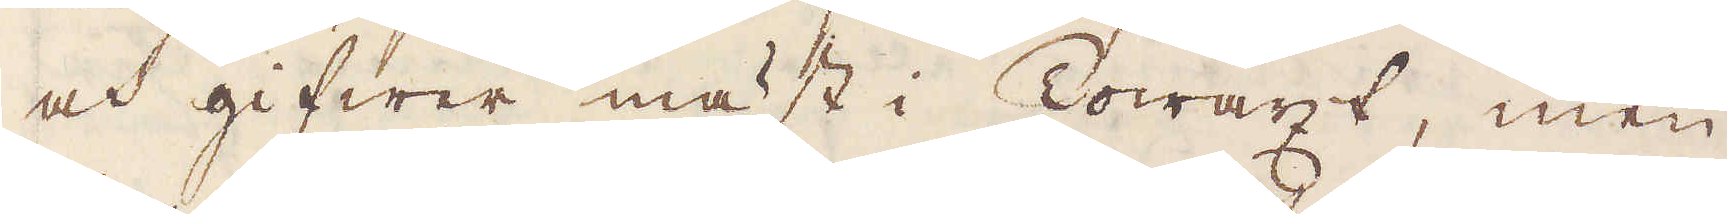och gifwer mäst i Towäxt, men
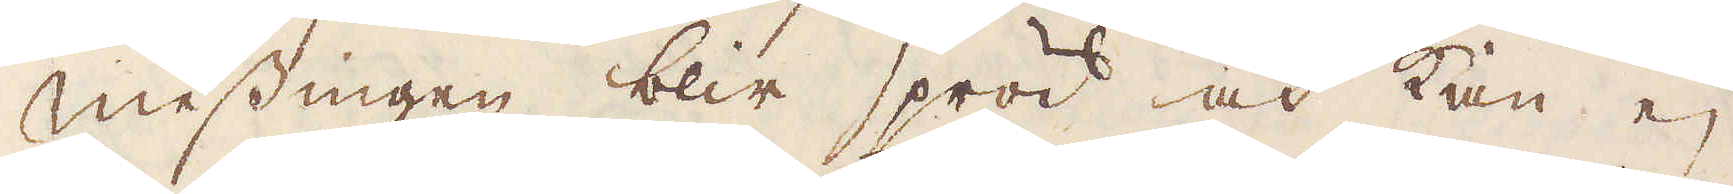messingen blir spröd och kan ej
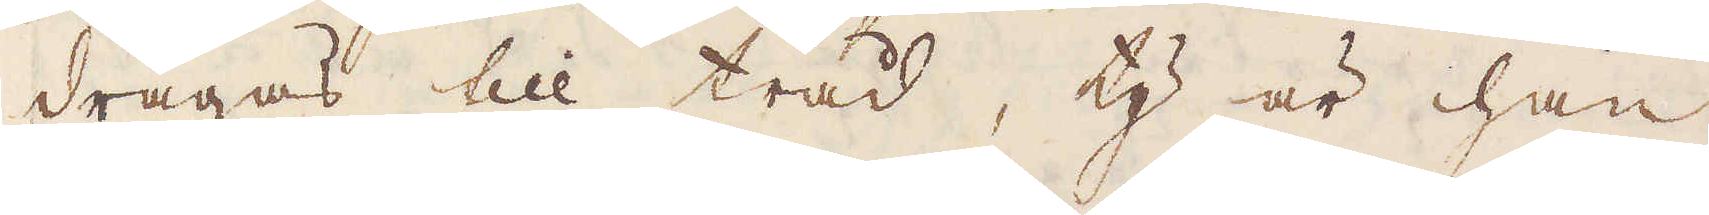dragas till tråd, ty är han
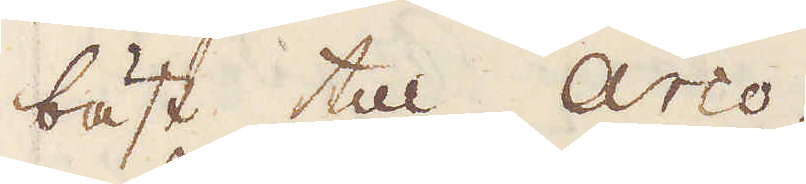bäst till Arco.
